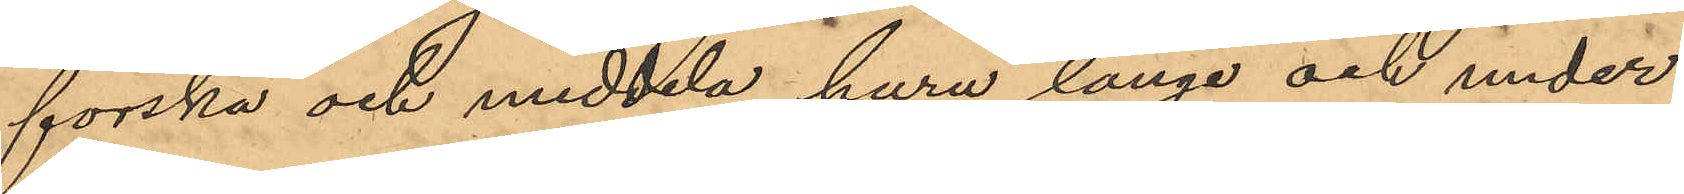forska och meddela huru länge och under
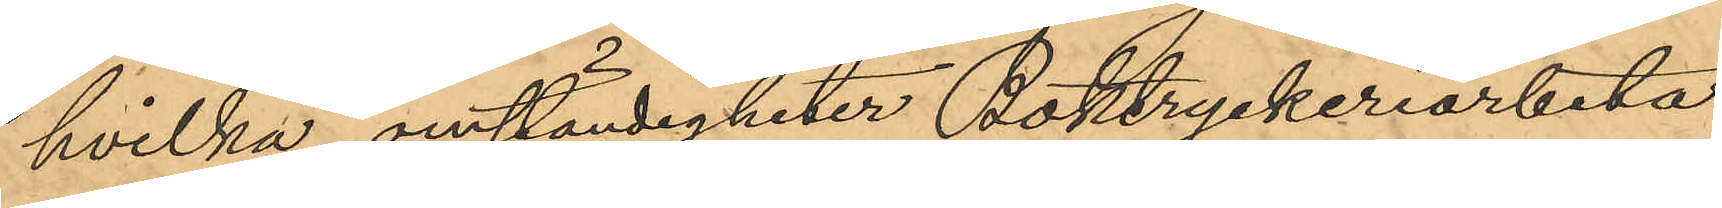hvilka omständigheter Boktryckeriarbeta¬
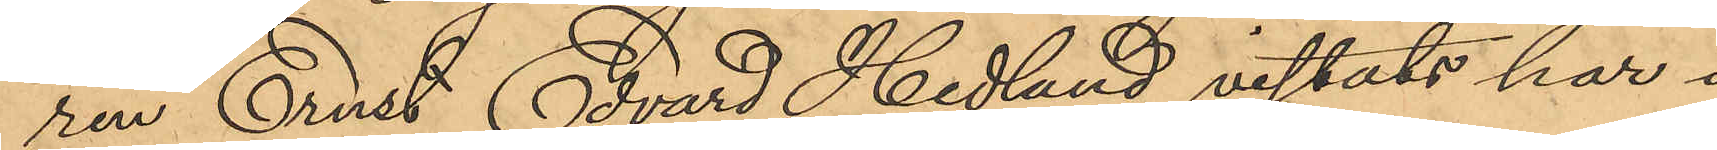ren Ernst Edvard Hedlund vistats här i
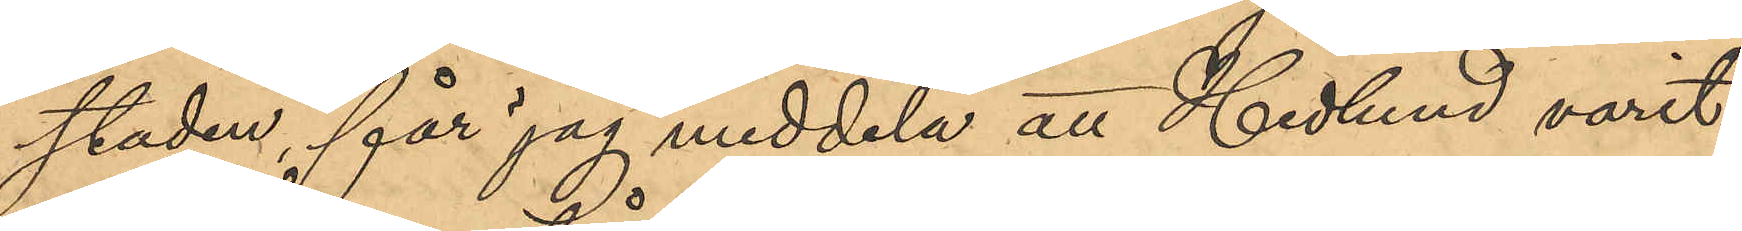staden, får jag meddela att Hedlund varit
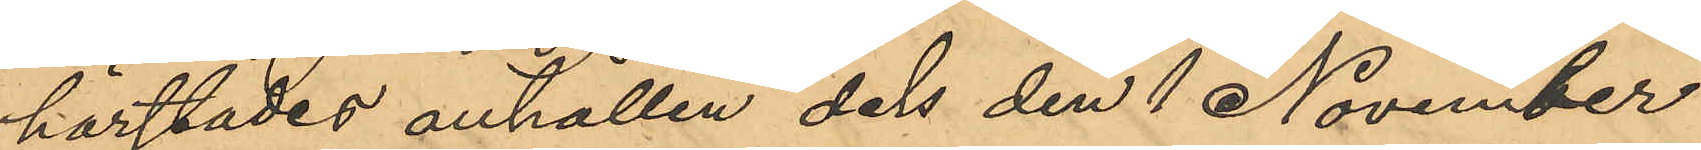härstädes anhållen dels den 1 November
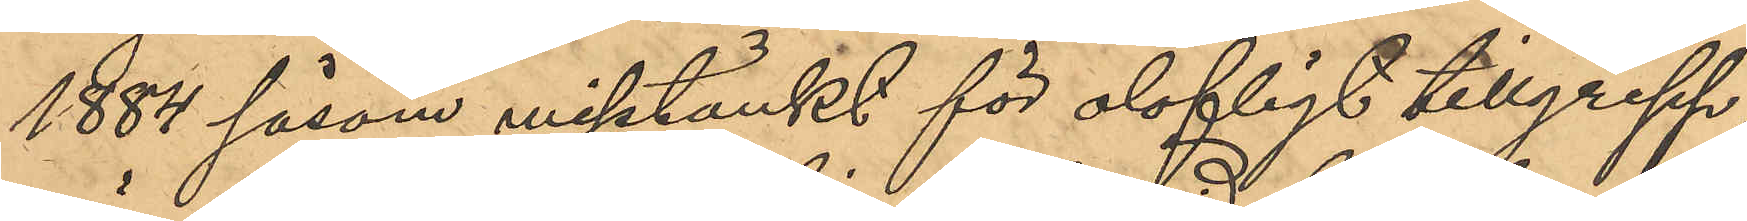1884 såsom misstänkt för olofligt tillgrepp,
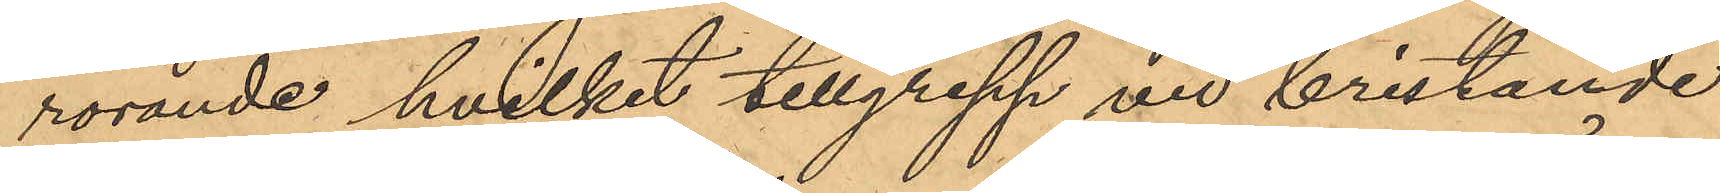rörande hvilket tillgrepp vid bristande
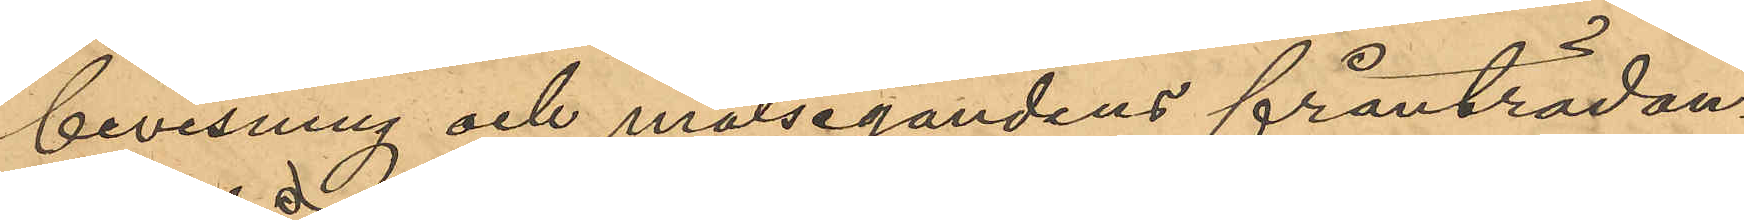bevisning och målsegandens frånträdan¬
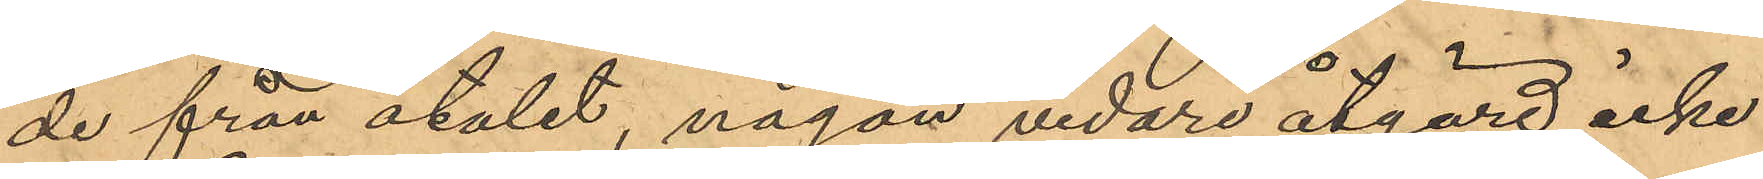de från åtalet, någon vidare åtgärd icke
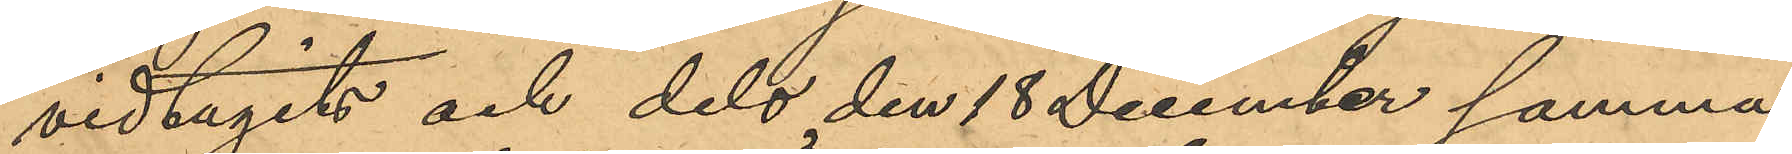vidtagits och dels den 18 December samma
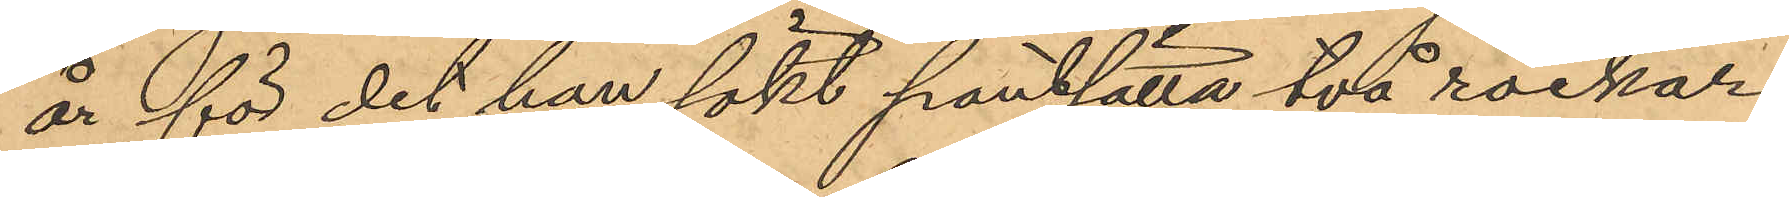år för det han sökt pantsätta två rockar
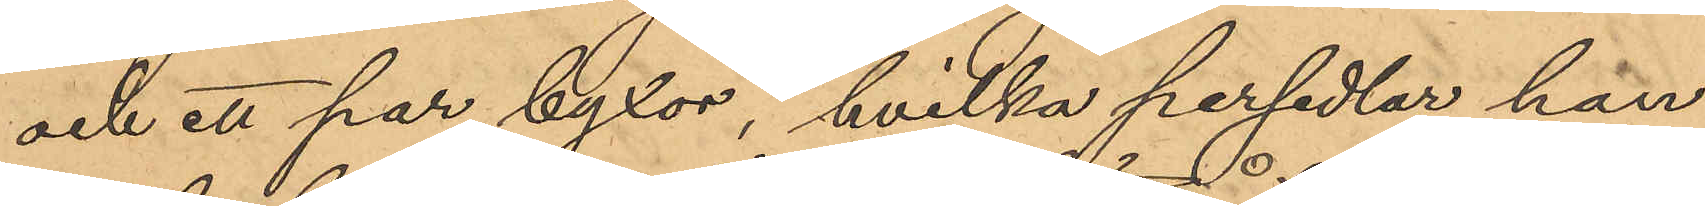och ett par byxor, hvilka persedlar han
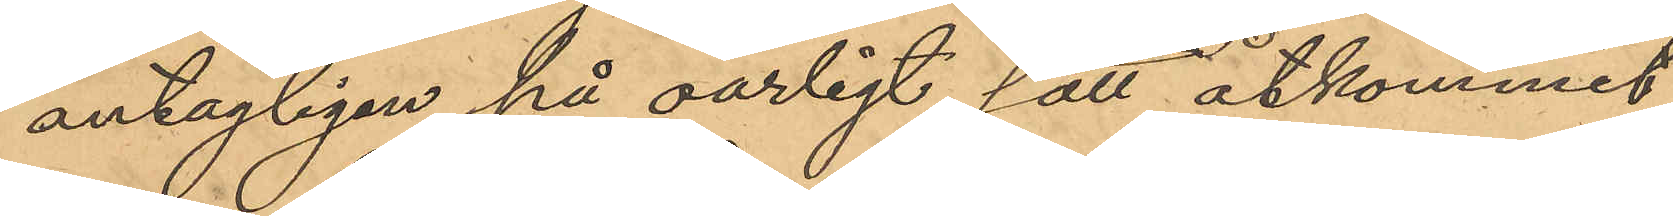antagligen på oärligt sätt åtkommit,
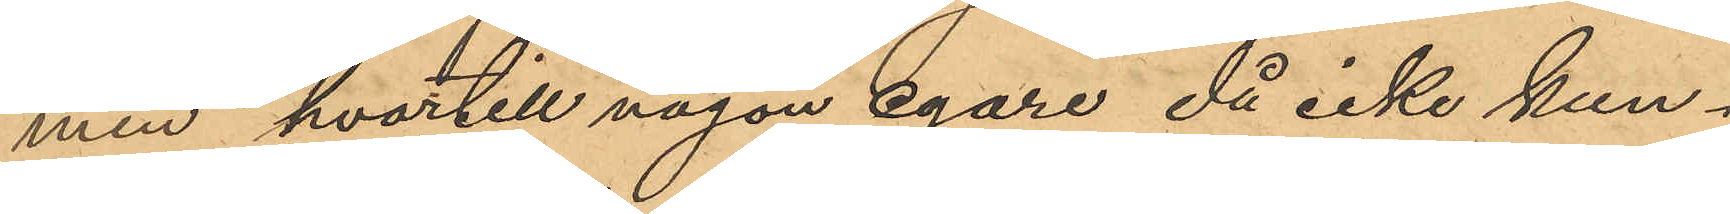men hvartill någon egare då icke kun¬
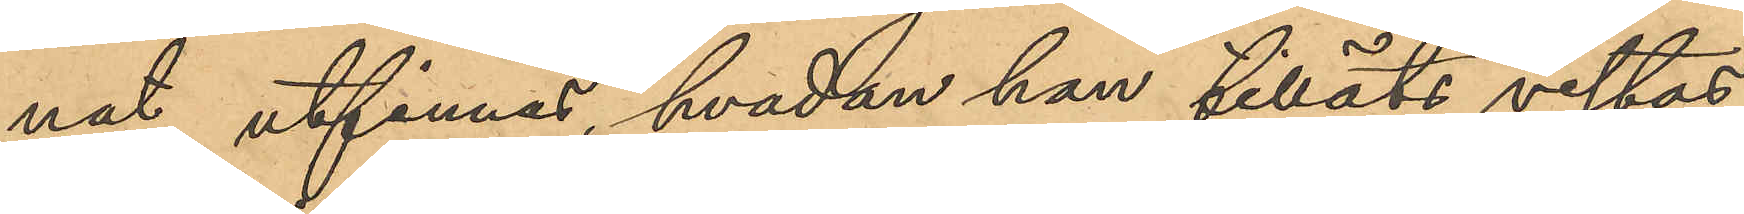nat utfinnas, hvadan han tilläts vistas
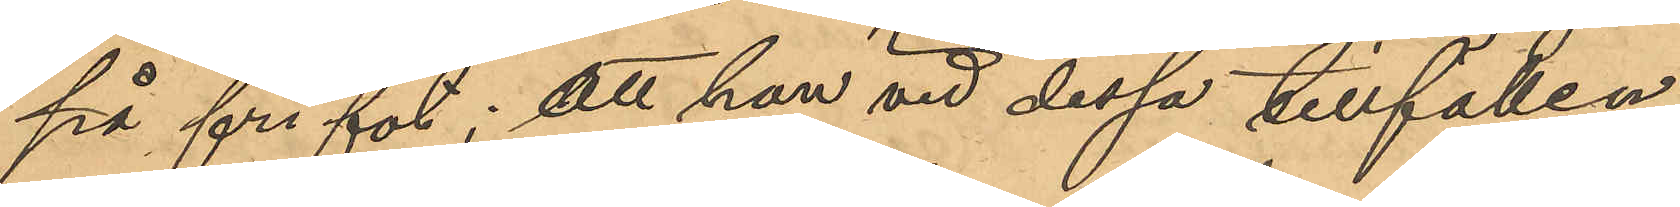på fri fot; att han vid dessa tillfällen
